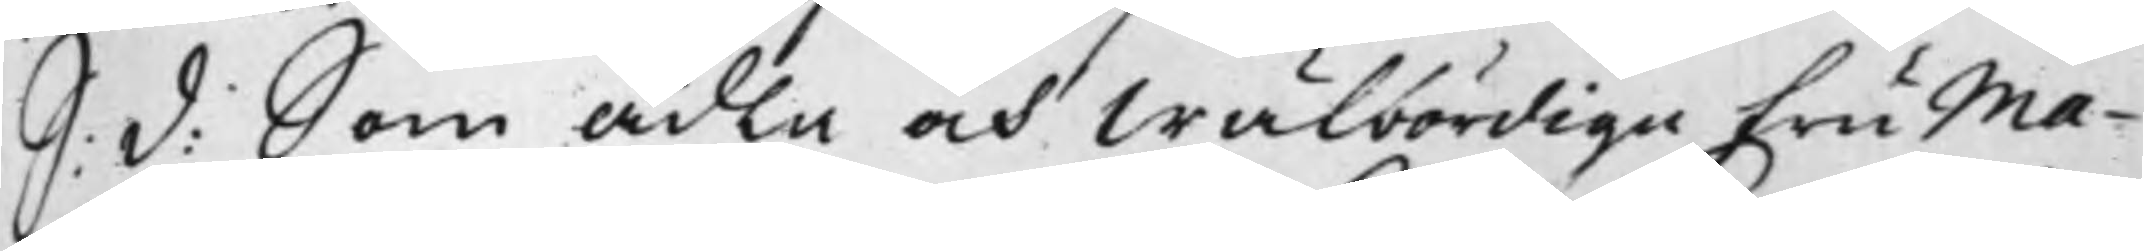S: d: Som Ädla och Wälbördige Fru Ma¬
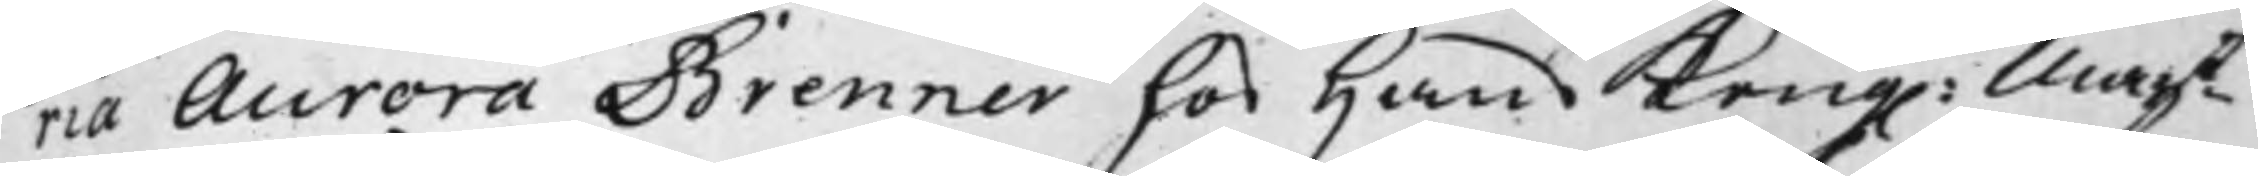ria Aurora Brenner hos Hans Kong. Maijt
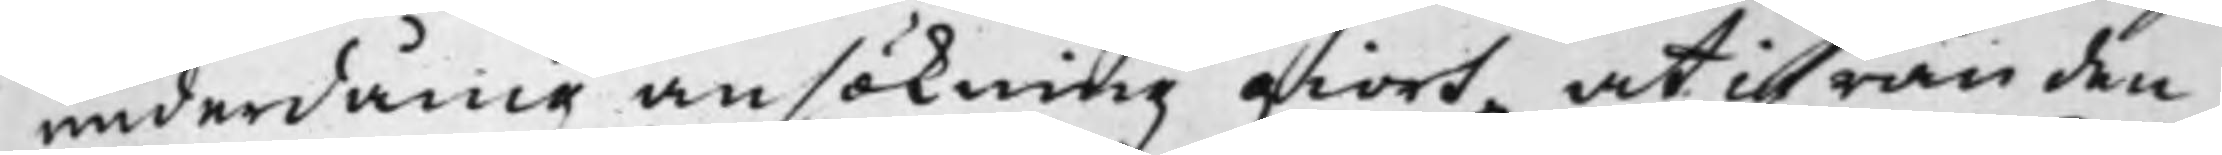underdånig ansökning giort, at ifrån den
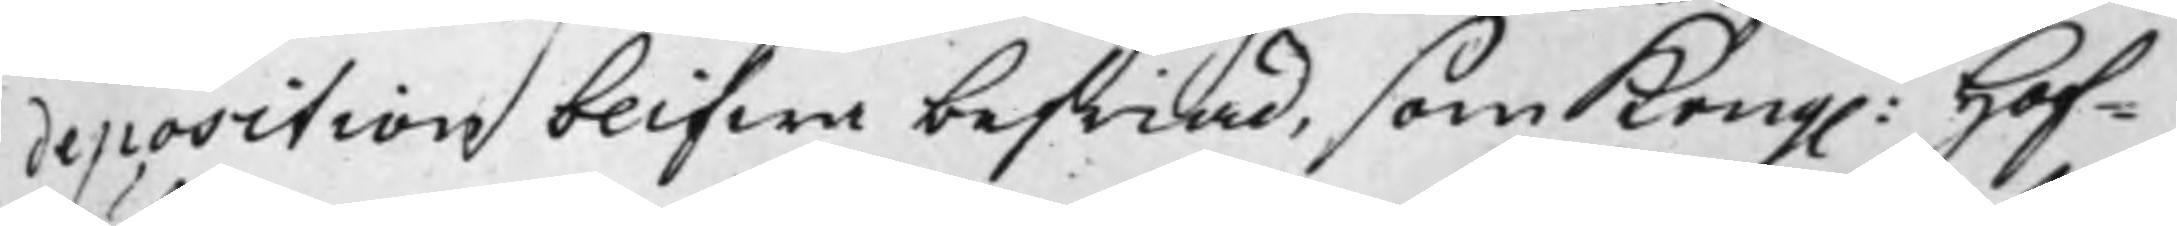deposition blifwa befriad, som Kong. Hof¬
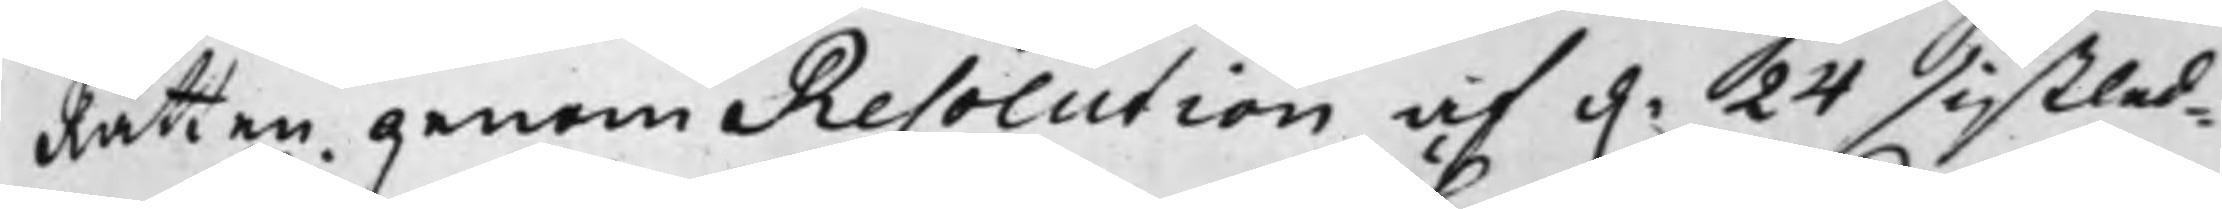Rätten genom Resolution af d. 24 sistled¬
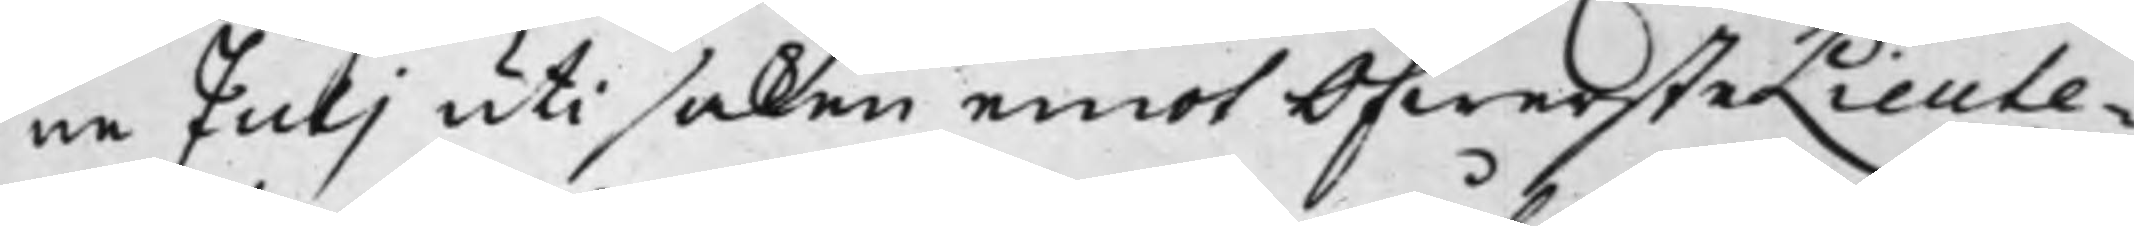ne Juli uti saken emot ÖfwersteLieute¬
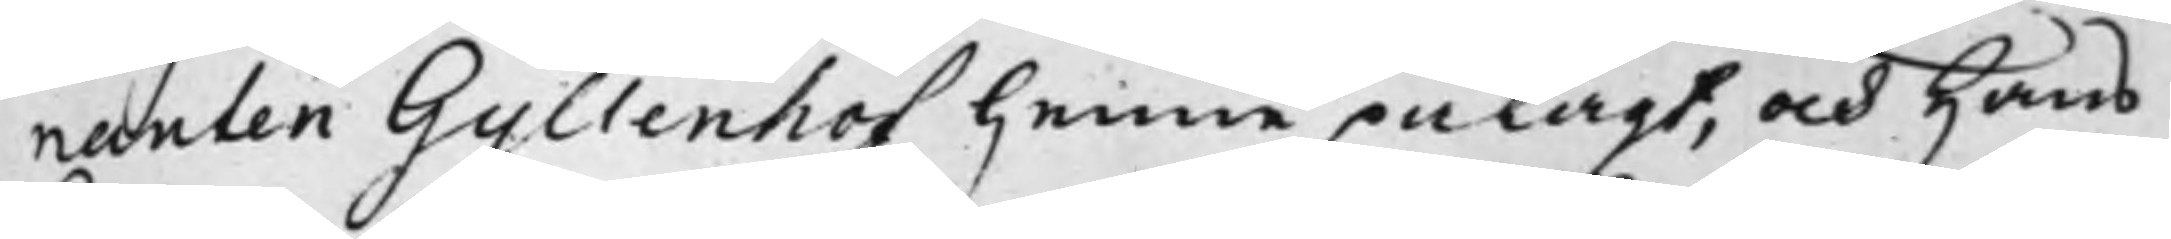nanten Gyllenhof henne pålagt, och Hans
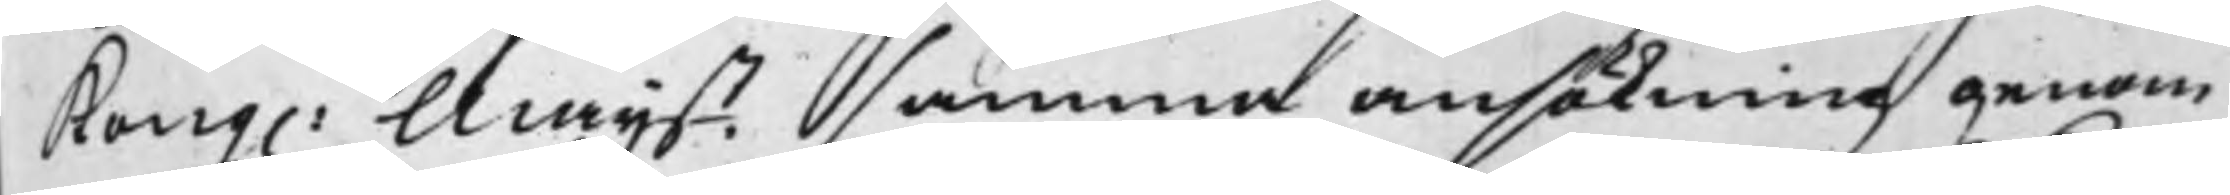Kong. Maijt samma ansökning genom
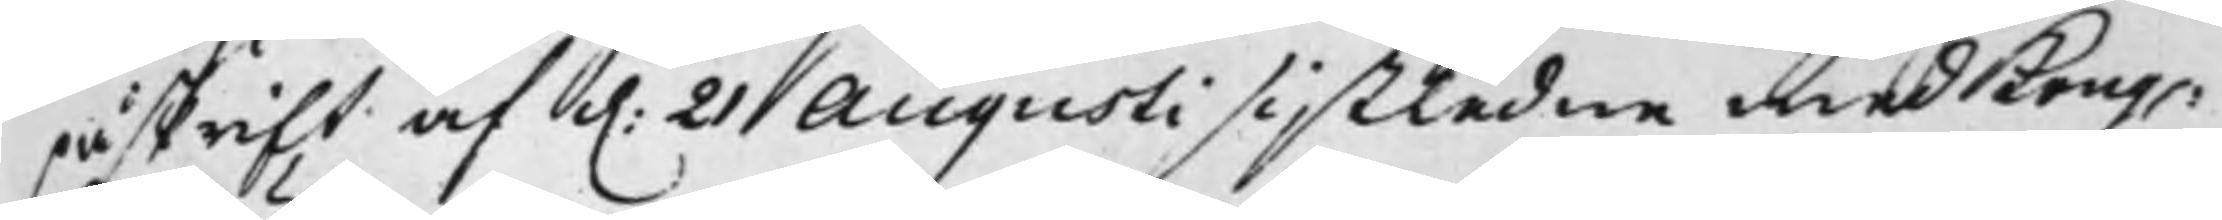påskrift af d. 21 Augusti sistledne med Kong.
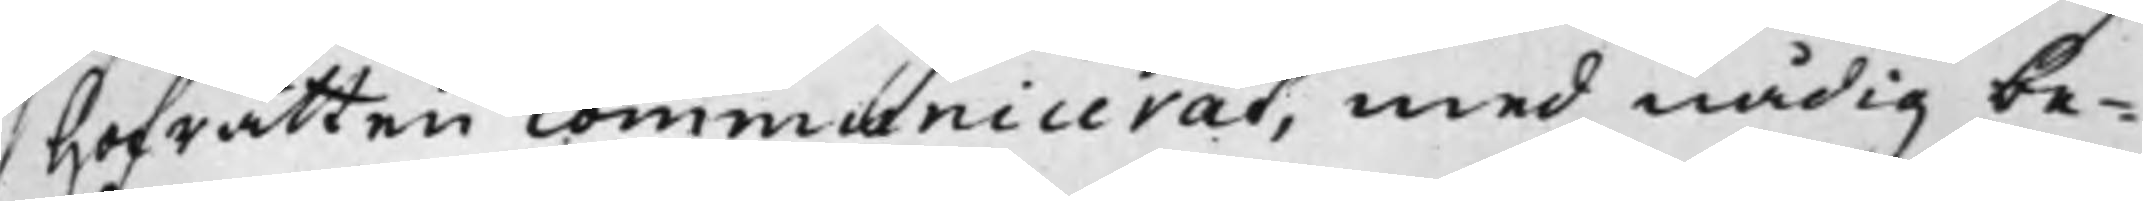Hofrätten communiceras, med nådig be¬
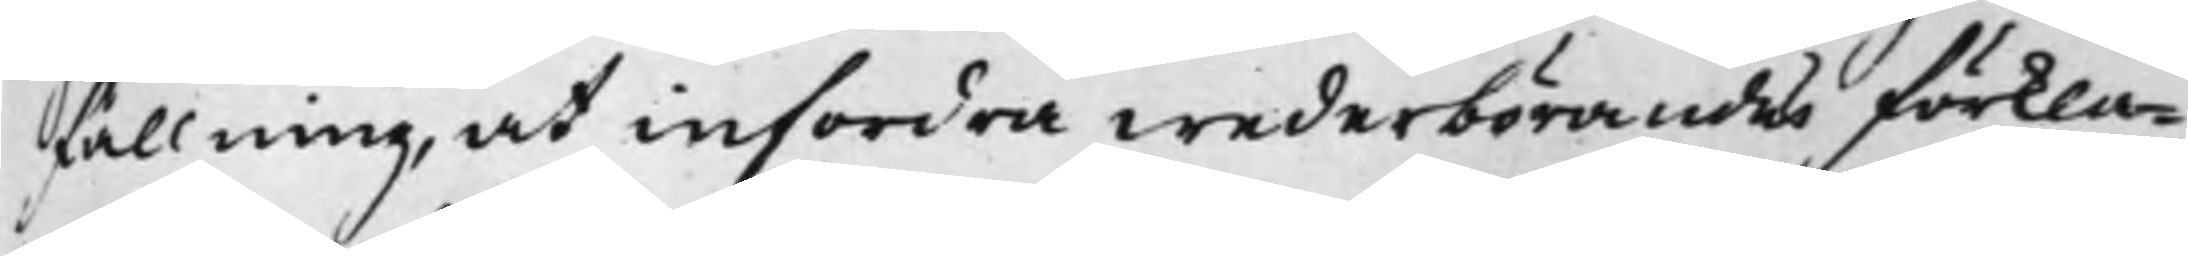fallning, at infordra wederbörandes förkla¬
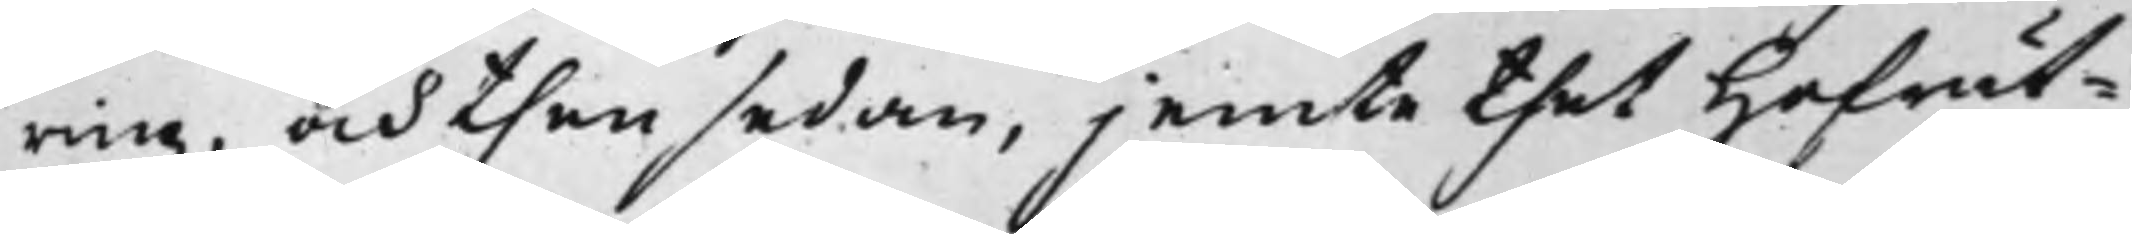ring, och then sedan, jemte thet Hofrät¬
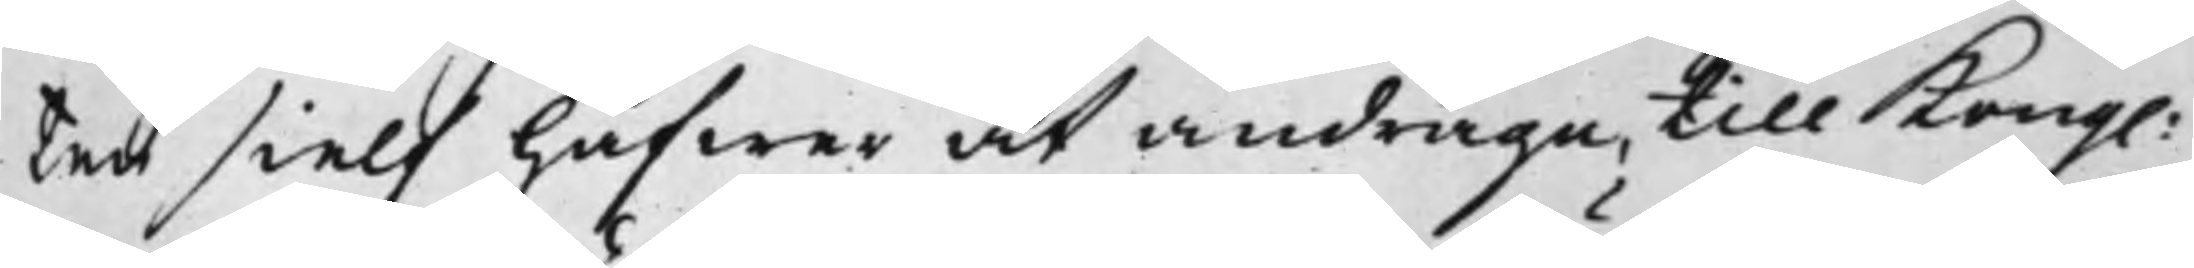ten sielf hafwer at andraga, till Kong.
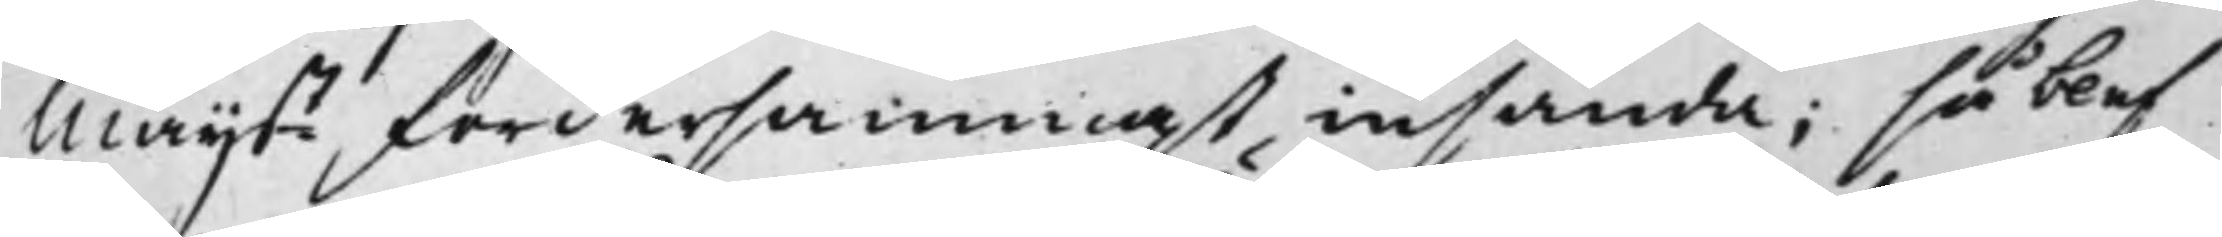Maijt fordersammast insända; så blef
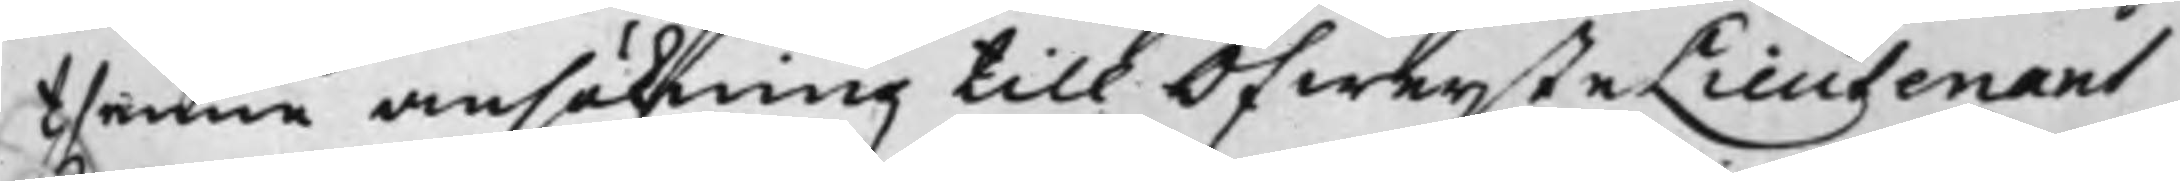thenne ansökning till ÖfwersteLieutenant
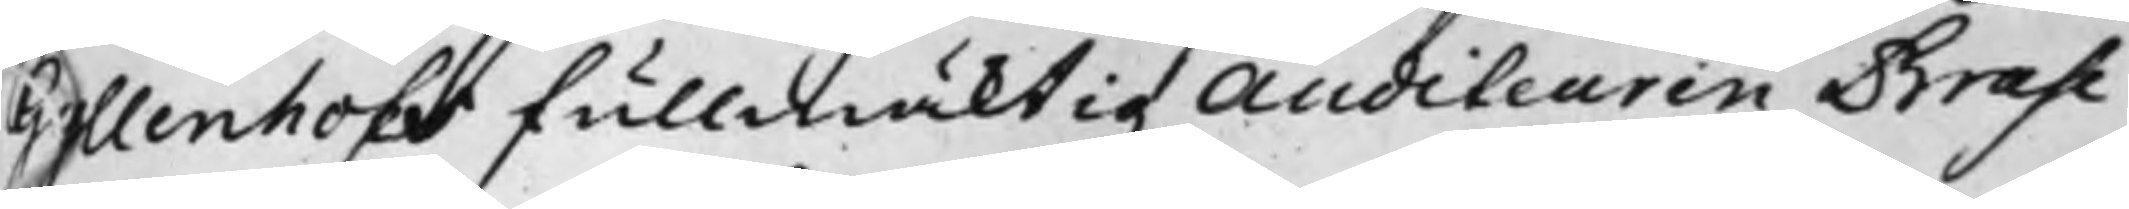Gyllenhofs fullmäktig Auditeuren Brahe
